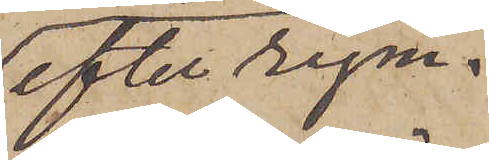efter rym¬
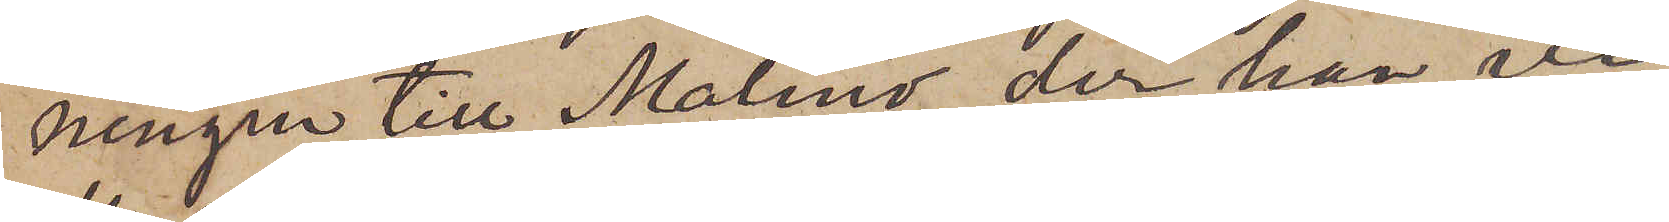ningen till Malmö, der han vi¬
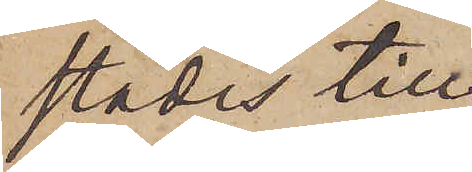stades till
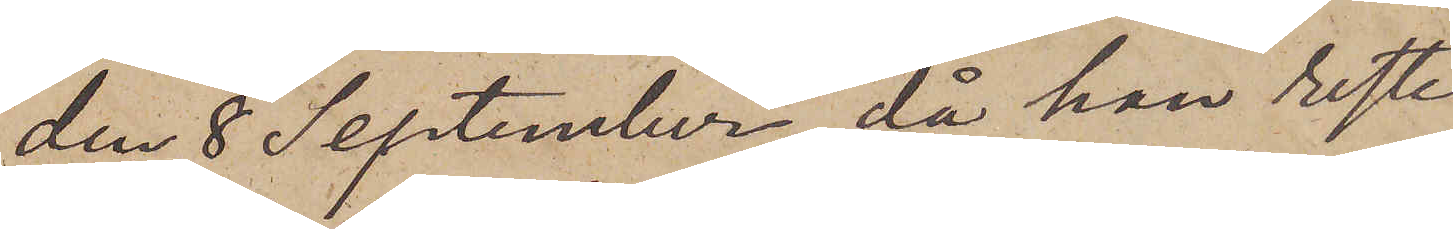den 8 September, då han reste
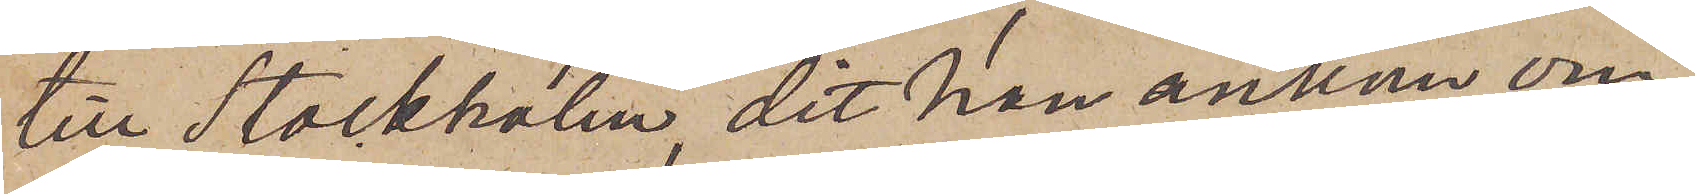till Stockholm, dit han ankom om¬
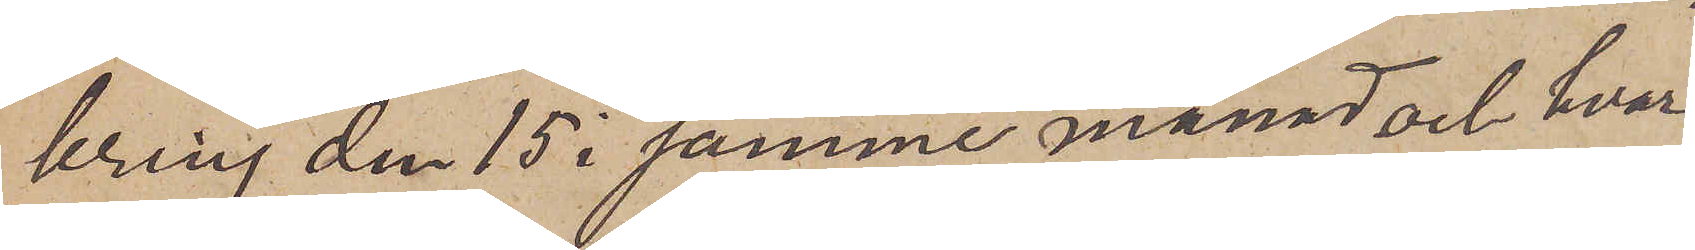kring den 15 i samme månad och hvar¬
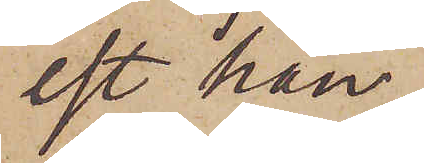est han
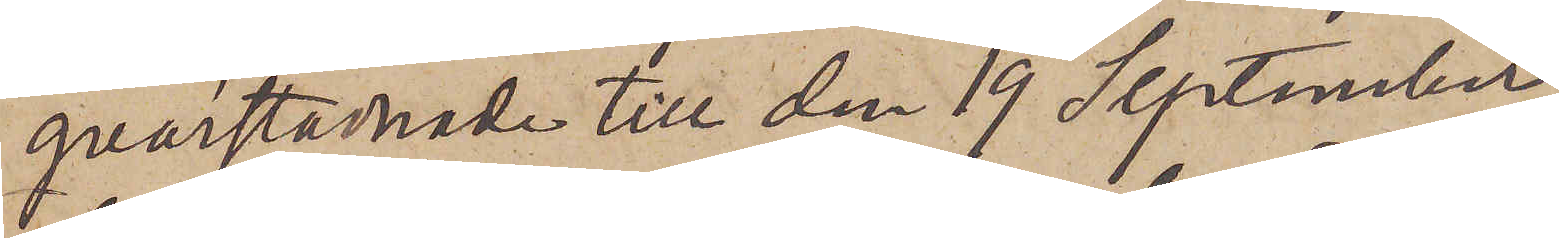qvarstannade till den 19 September,
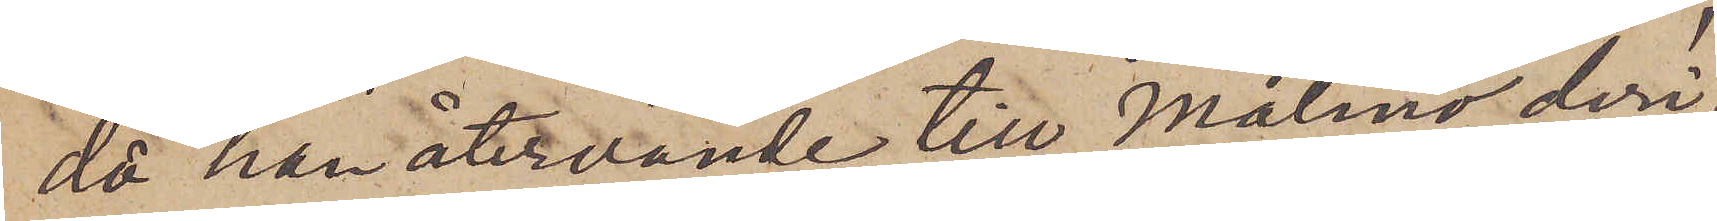då han återvände till Malmö, deri¬
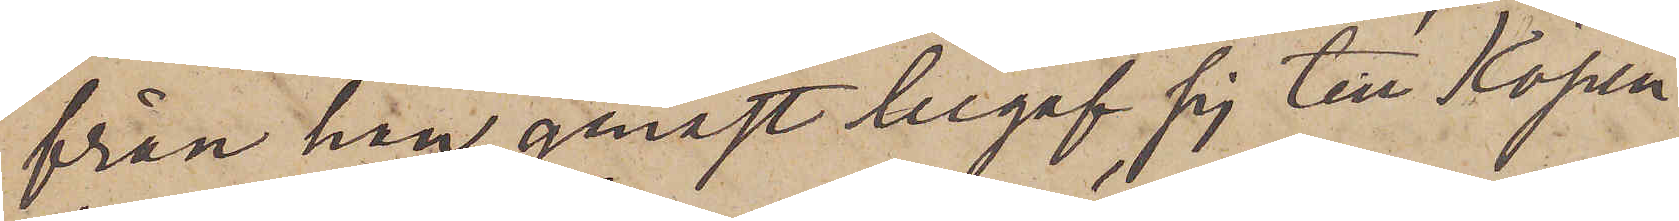från han genast begaf sig till Köpen¬
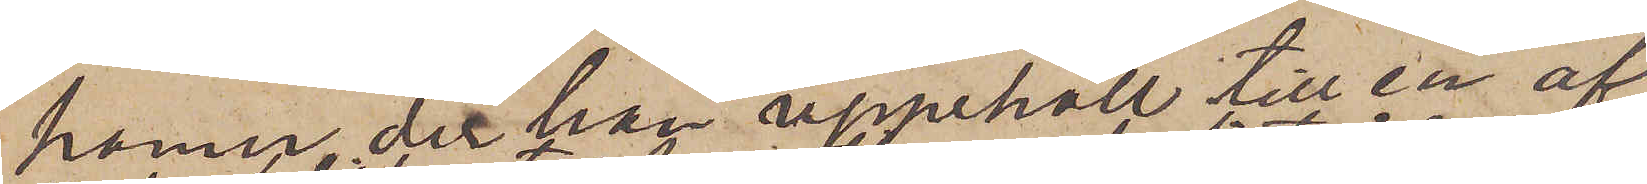hamn, der han uppehöll till en af
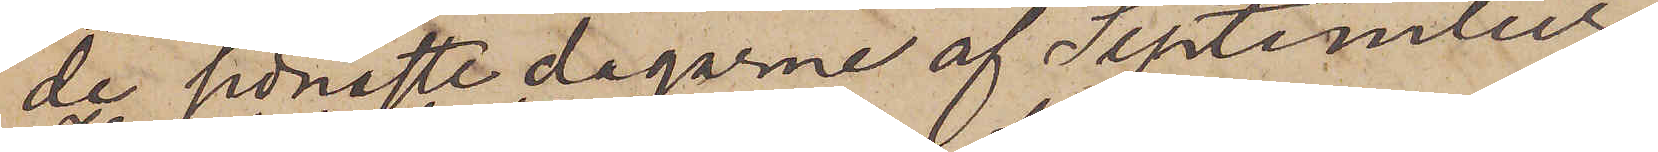de senaste dagarne af September
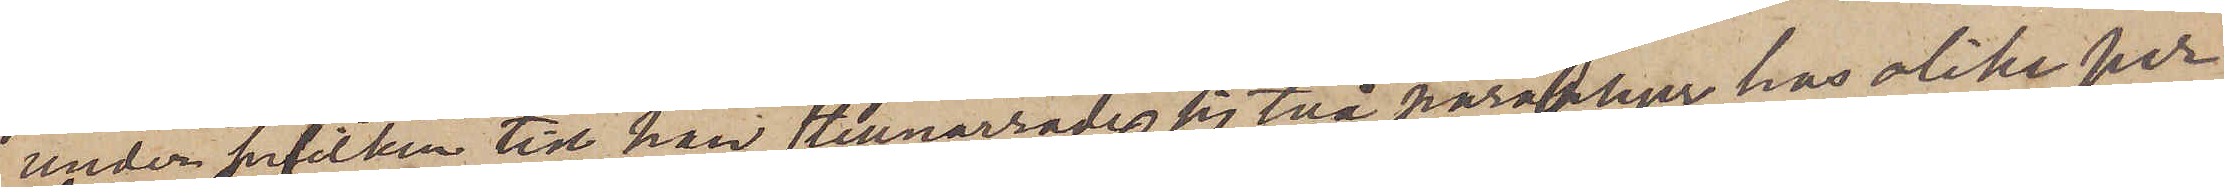under hvilken tid han tillnarrade sig två paraplyer hos olika per¬
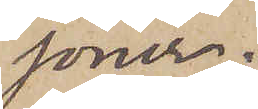soner.
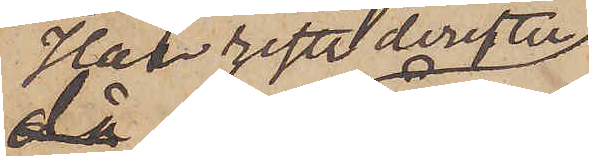Han reste derefter
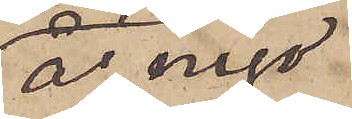å nyo
